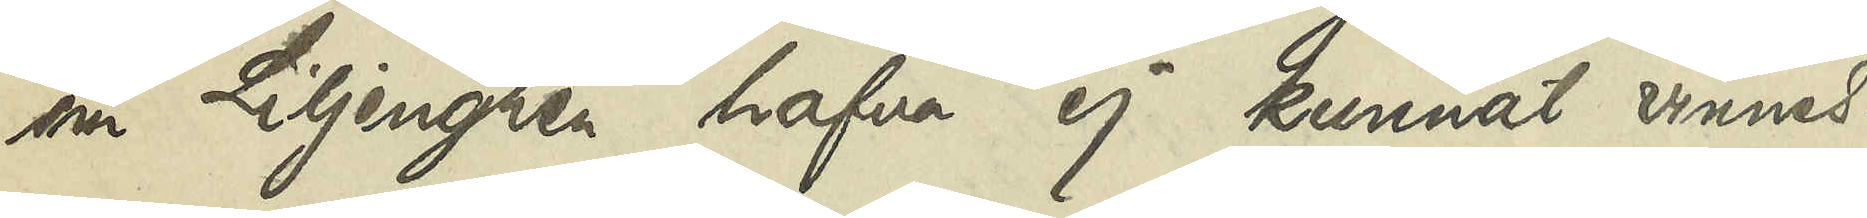om Liljengren hafva ej kunnat vinnas.
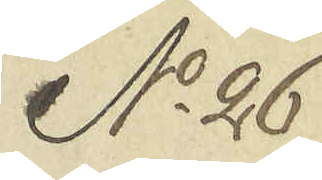No 26
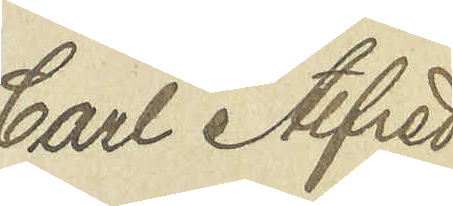Carl Alfred
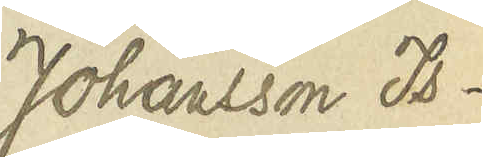Johansson Is¬
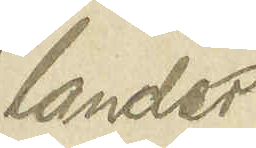lander
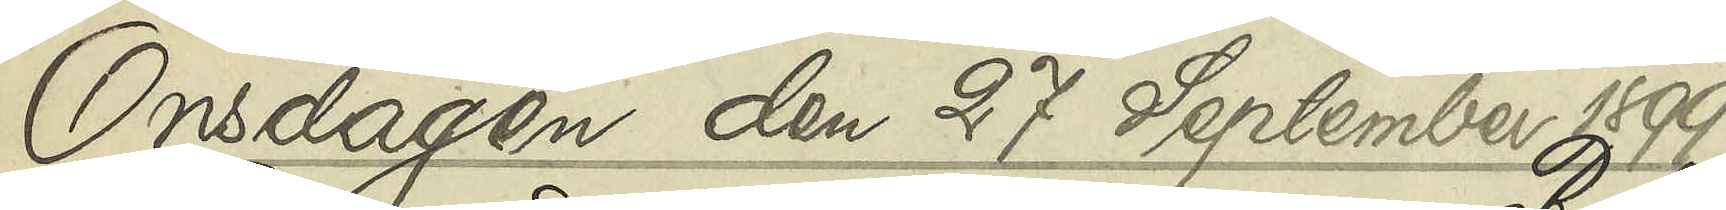Onsdagen den 27 September 1899
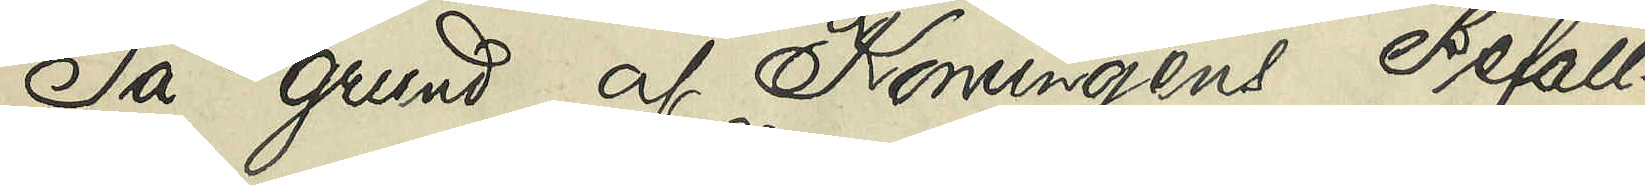På grund af Konungens Befall¬
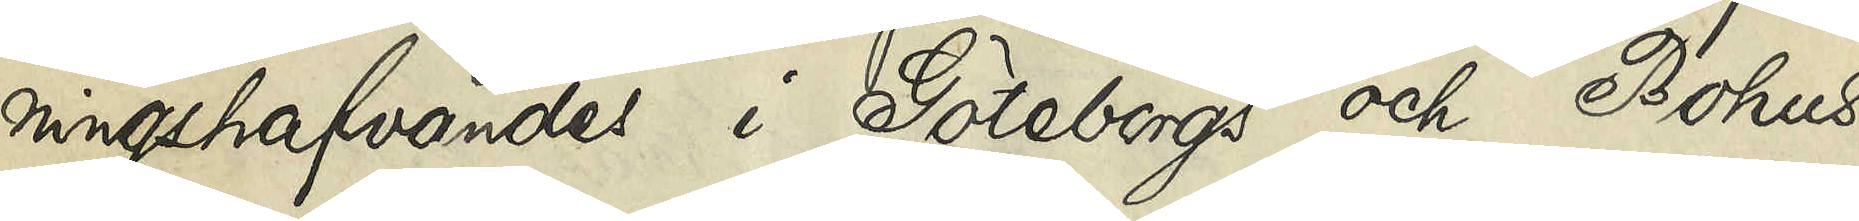ningshafvandes i Göteborgs och Bohus
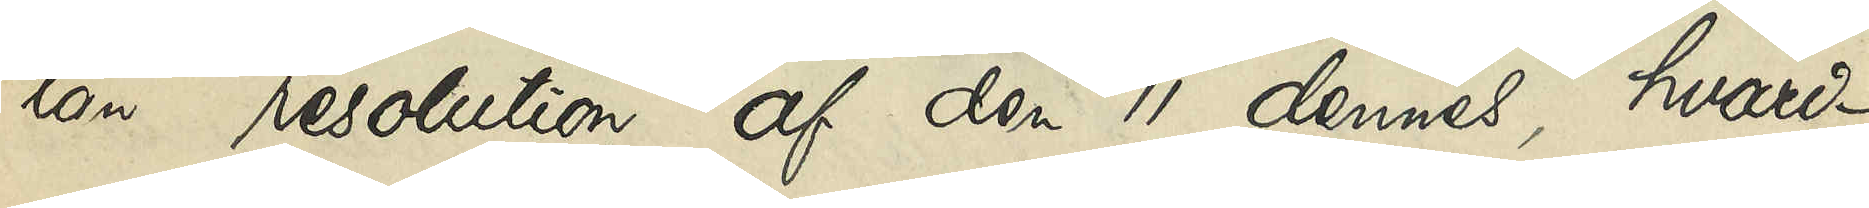län resolution af den 11 dennes, hvari¬
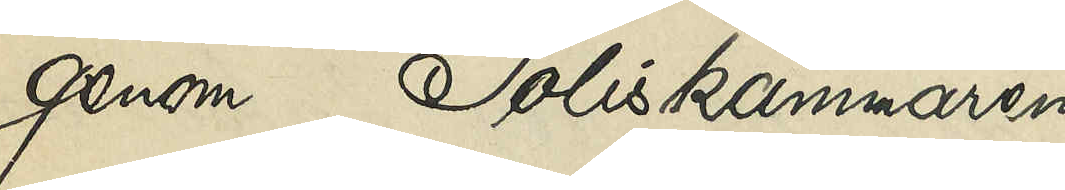genom Poliskammaren
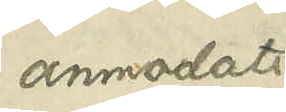anmodats
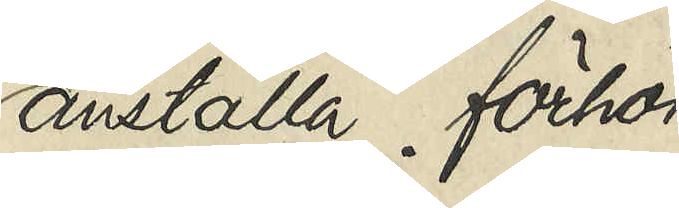anställa förhör
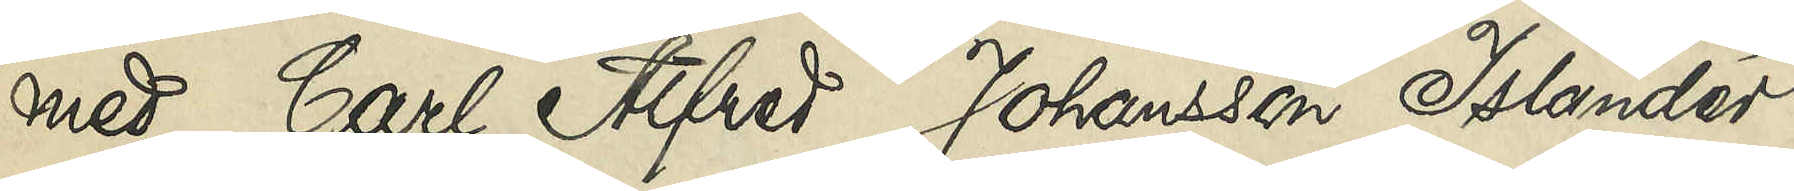med Carl Alfred Johansson Islander
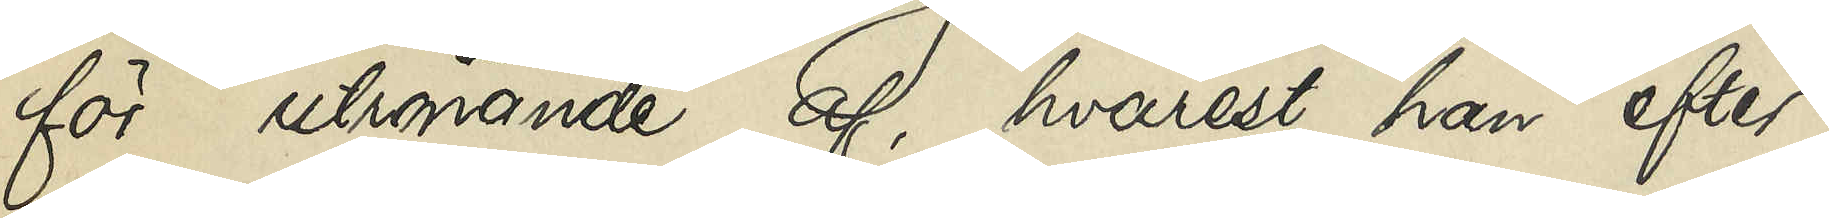för utrönande af, hvarest han efter
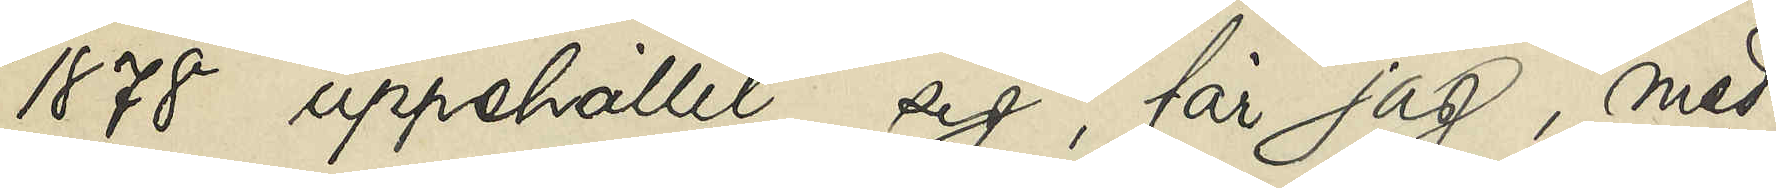1878 uppehållit sig, får jag, med
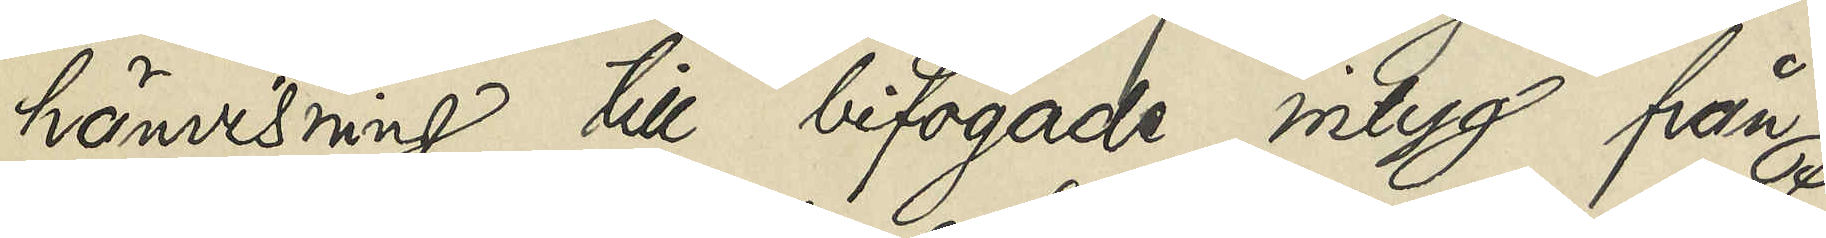hänvsining till bifogade intyg från
